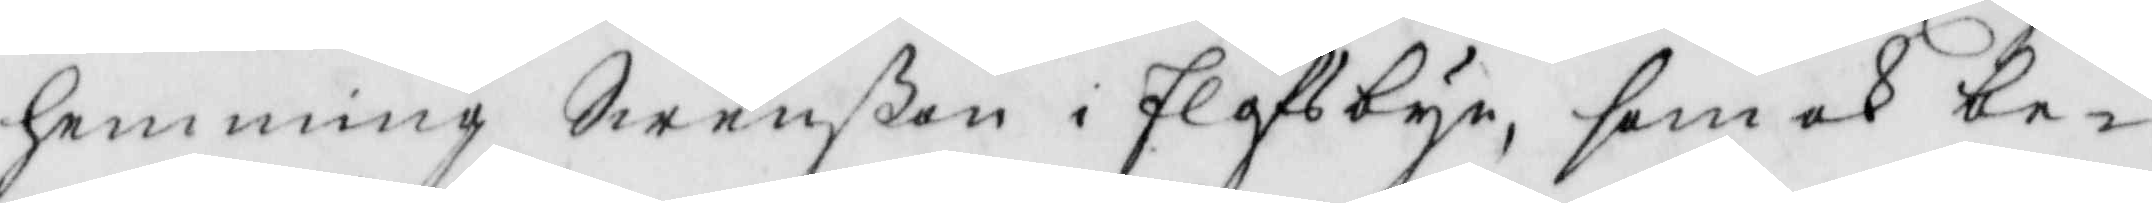Hemming Swenßon i Elofsbyn, som ock be¬
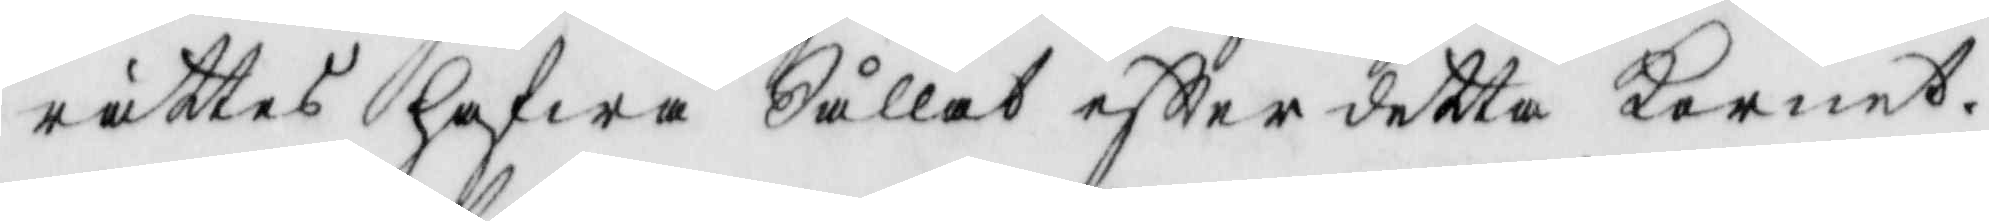rättas hafwa Sållat eftter detta Kornet.
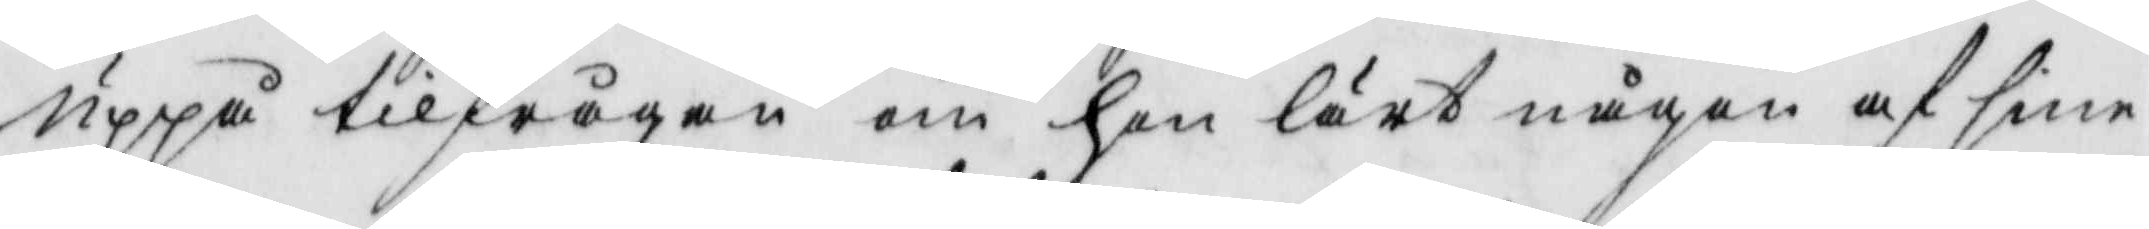uppå tilfrågan om hon lärt någon af sine
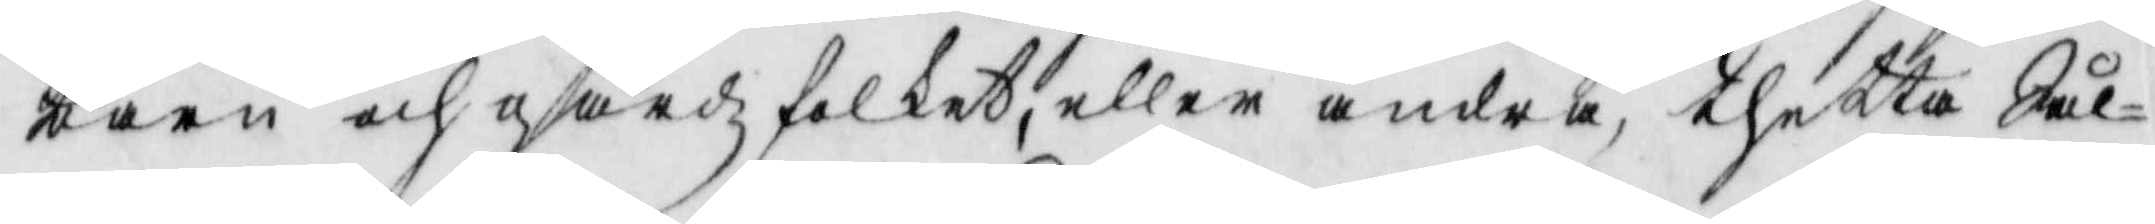barn och gårdzfolket, ellet andra, thetta Sål¬
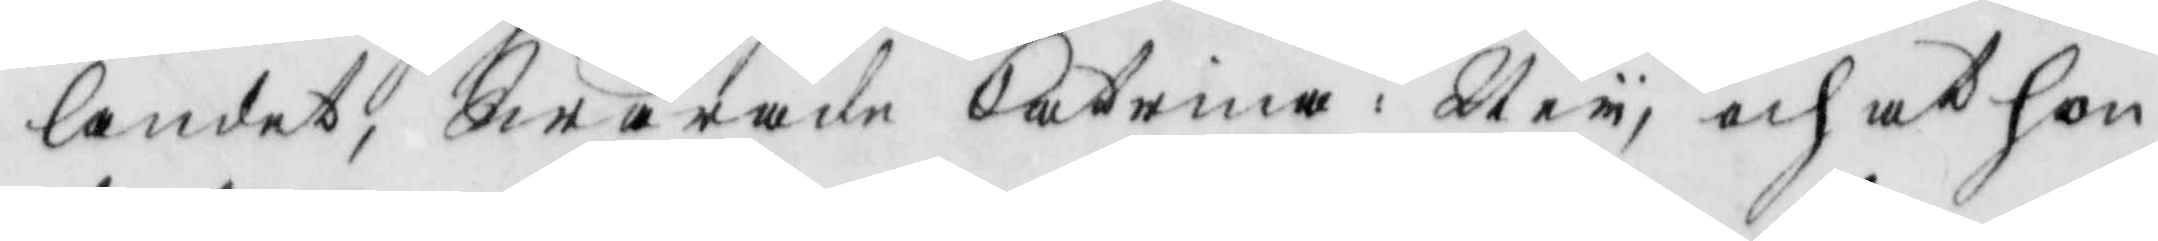landet, Swarade Catrina: Ney, och at hon
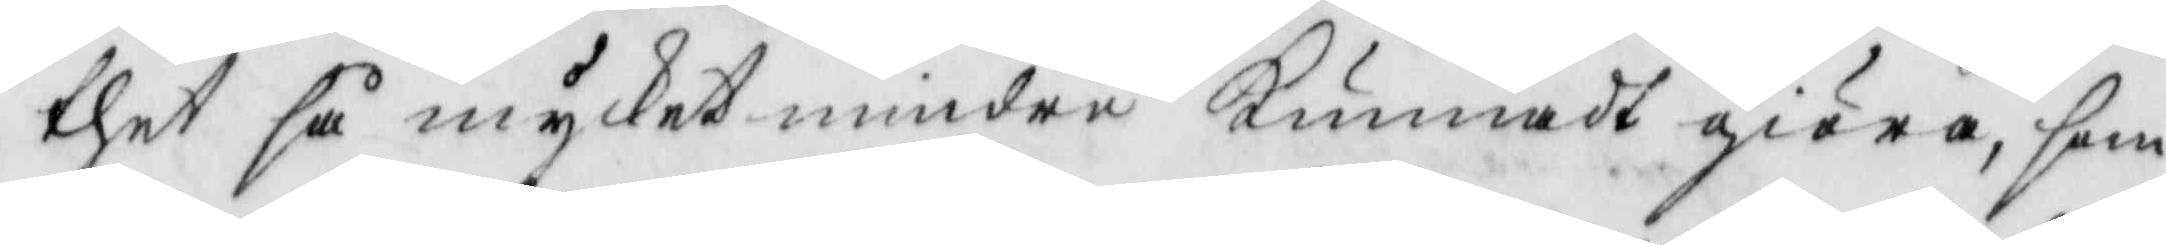thet så mycket mindre Kunnadt giöra, som
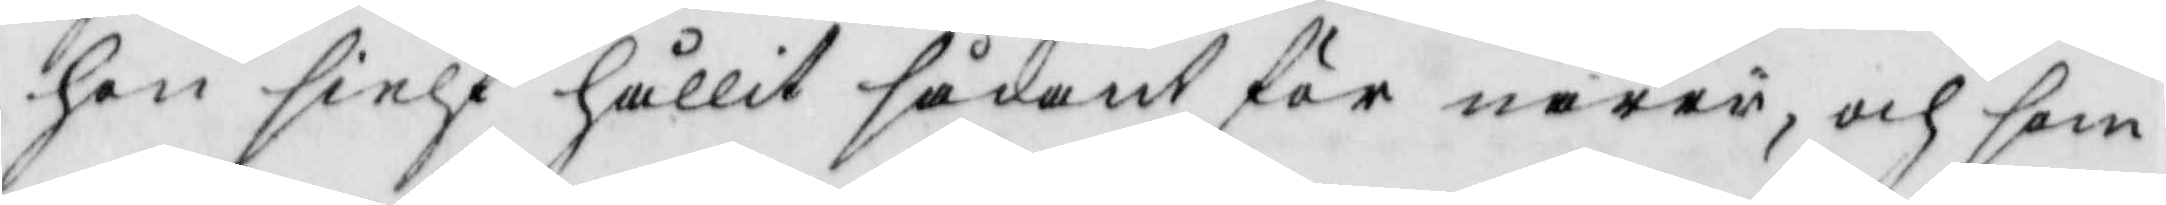hon sielf hållit sådant för narri, och som
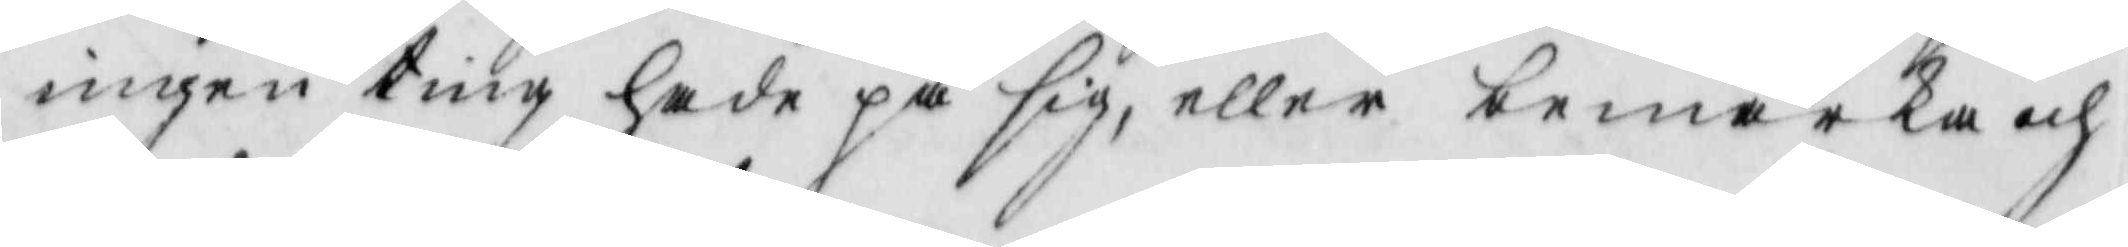ingen ting hade på sig, eller bemärka och
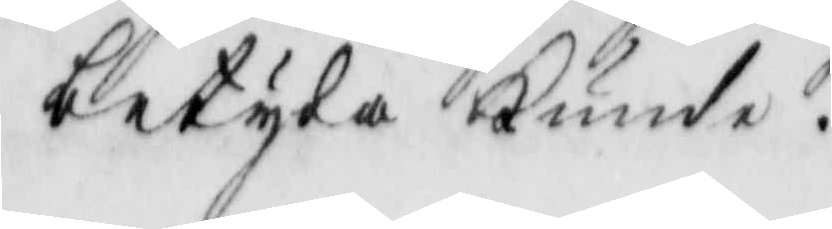betyda Kunde.
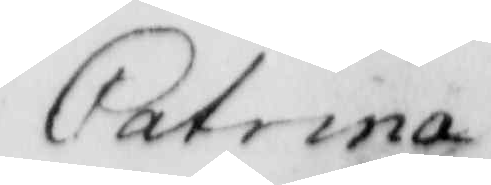Catrina
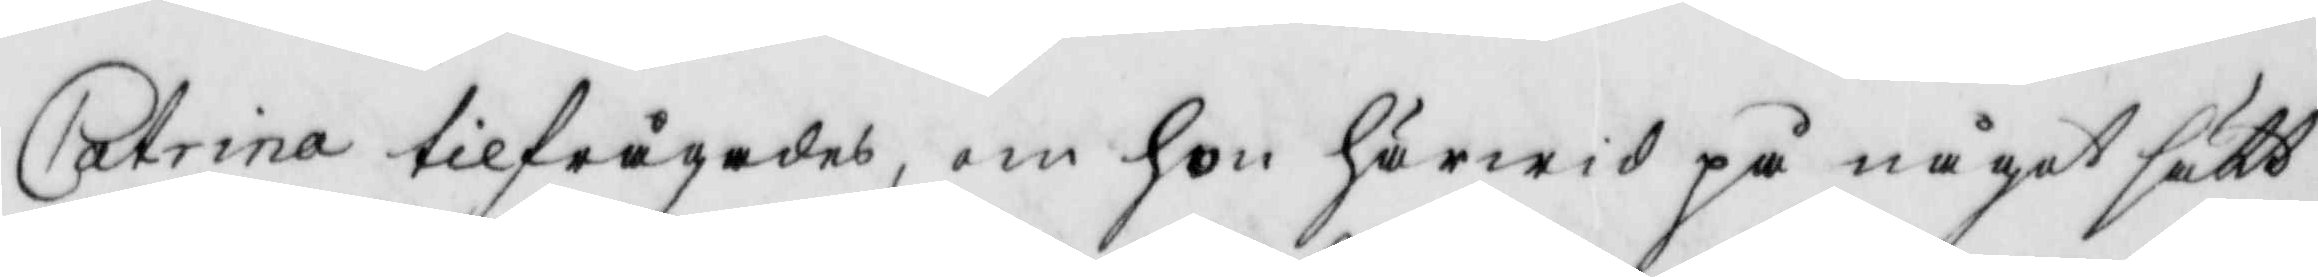Catrina tilfrågades, om hon härwid på något sätt
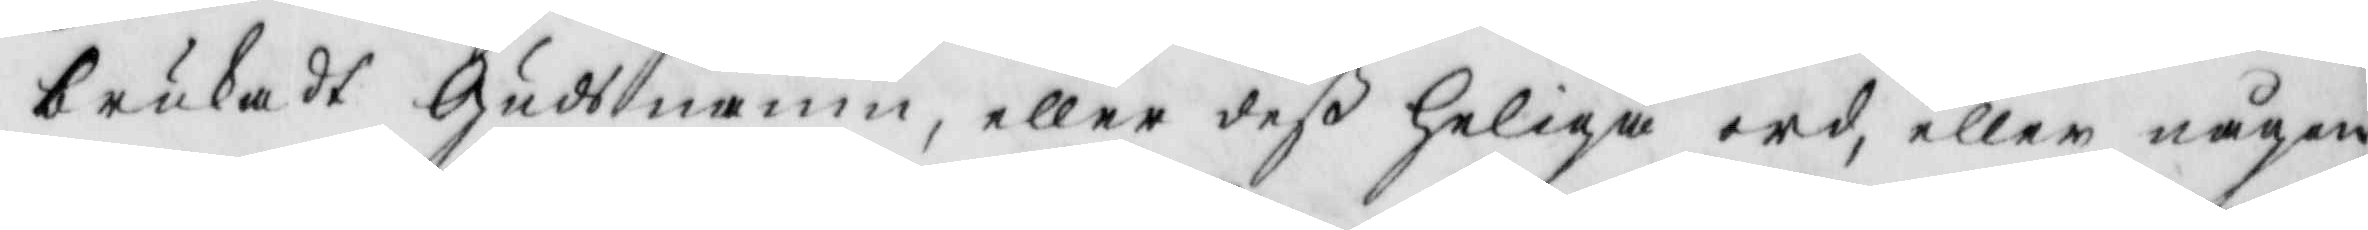brukadt Guds namn, eller deß Heliga ord, eller någon
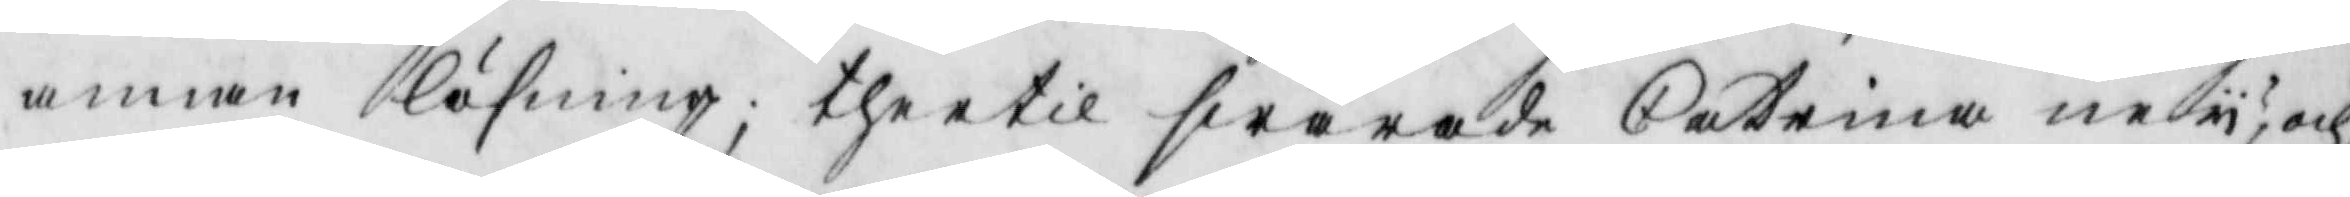annan läsning, thertil swarade Catrina ney; och
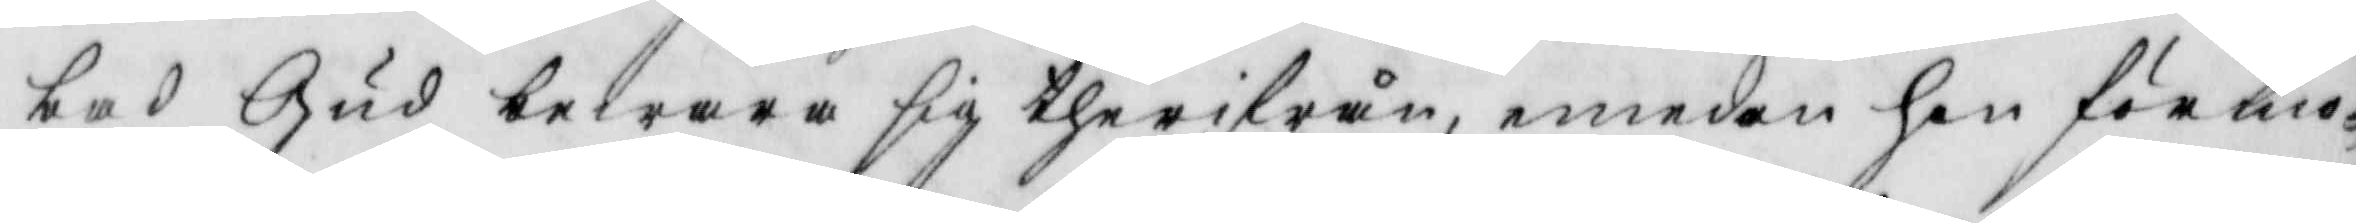bad Gud bewara sig therifrån, emedan hon förmo¬
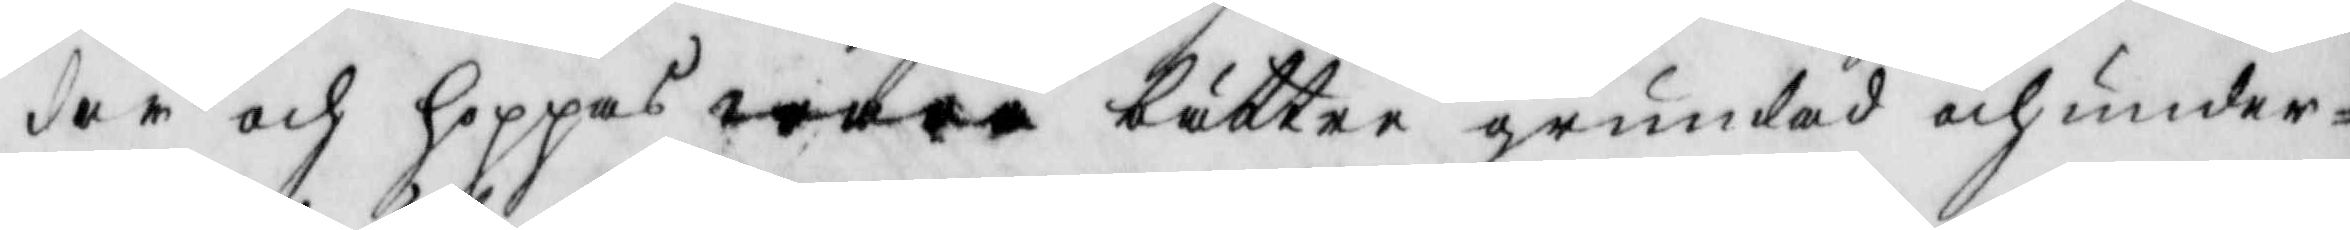dar och hoppas wara bättre grundad och under¬
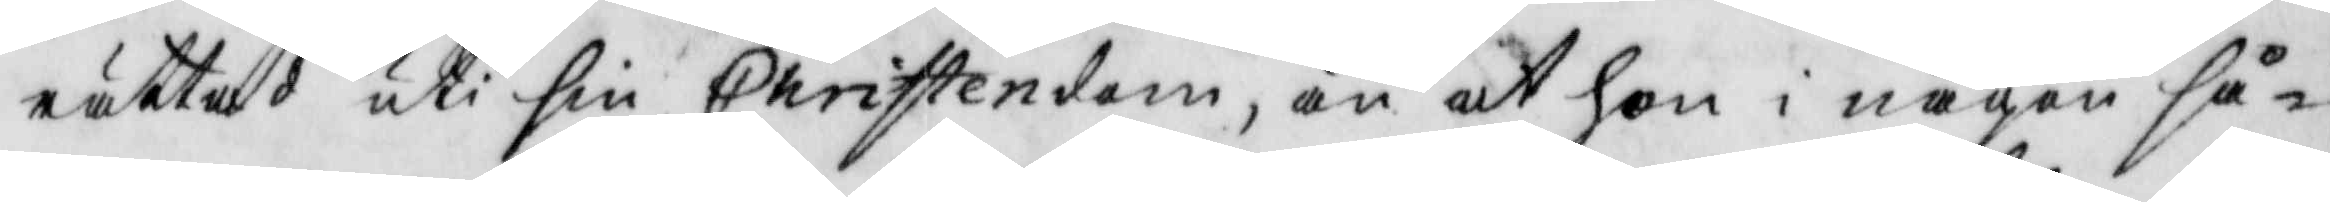rättad uti sin Christendom, än at hon i någon så¬
